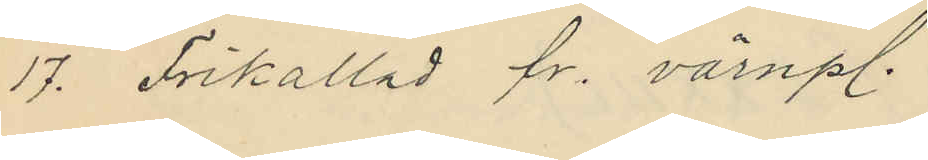17. Frikallad fr. värnpl.
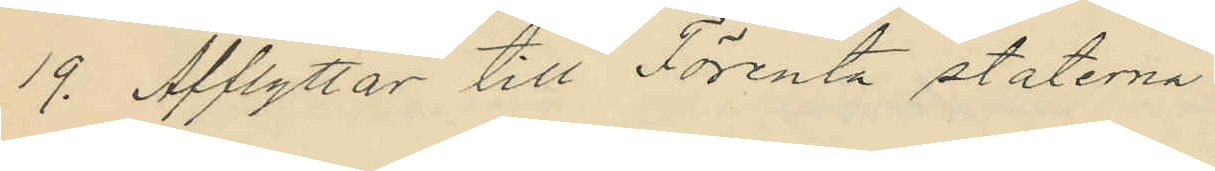19. Afflyttar till Förenta staterna
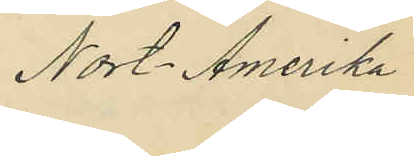Nort-Amerika
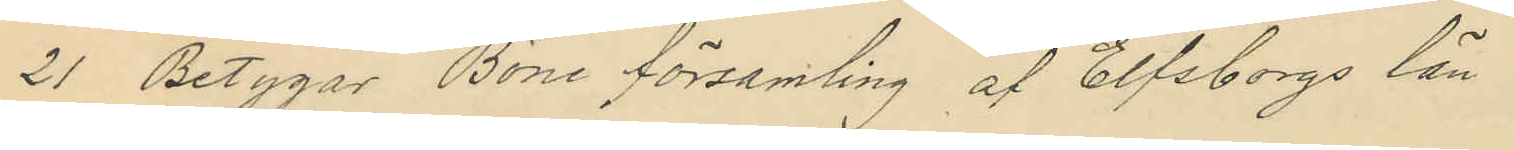21. Betygar Böne Församling af Elfsborgs län
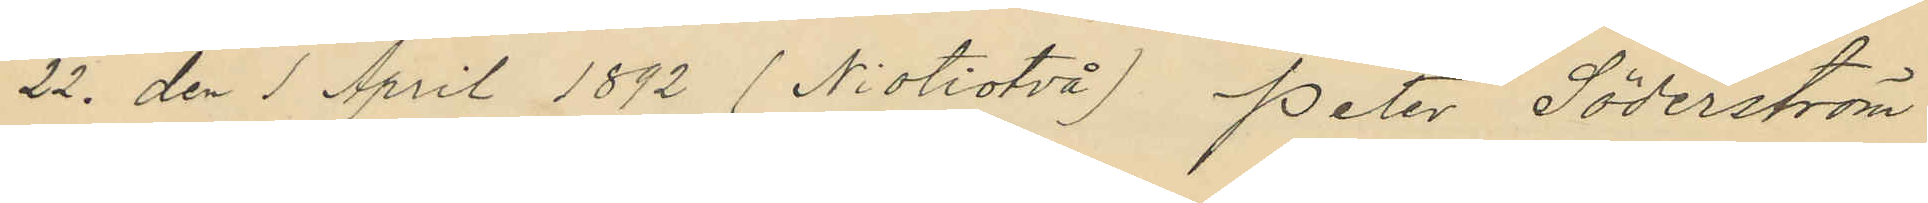22. den 1 April 1892 (Niotiotvå) Peter Söderström
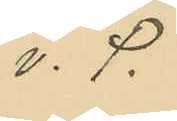v. P.
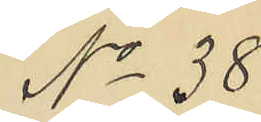No 38
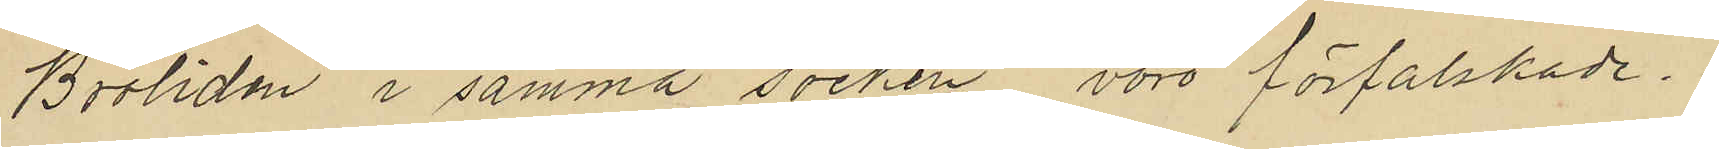Broliden i samma socken vore förfalskade.
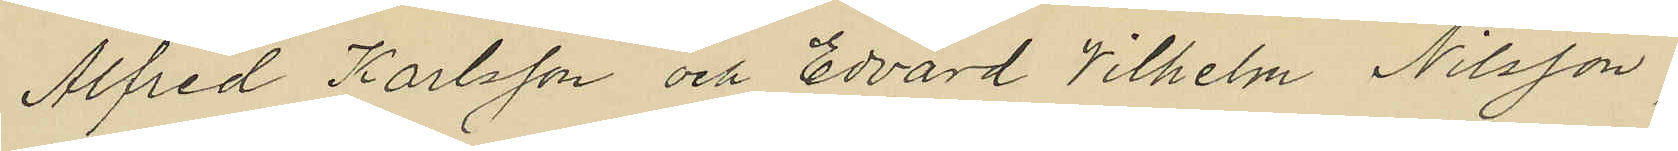Alfred Karlsson och Edvard Vilhelm Nilsson,
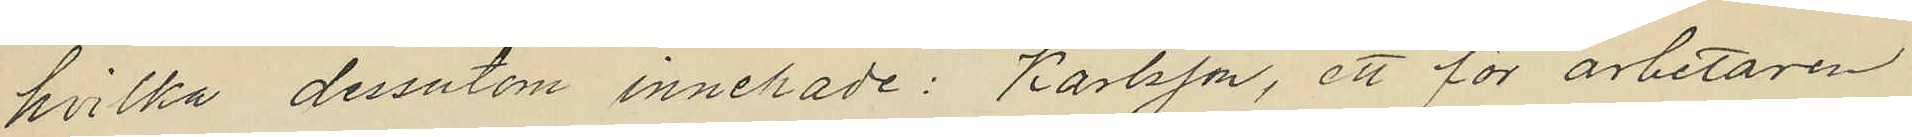hvilka dessutom innehade: Karlsson, ett för arbetaren
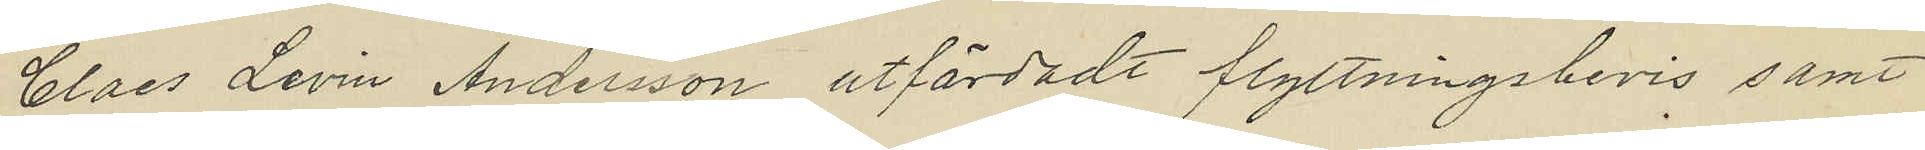Claes Levin Andersson utfärdadt flyttningsbevis samt
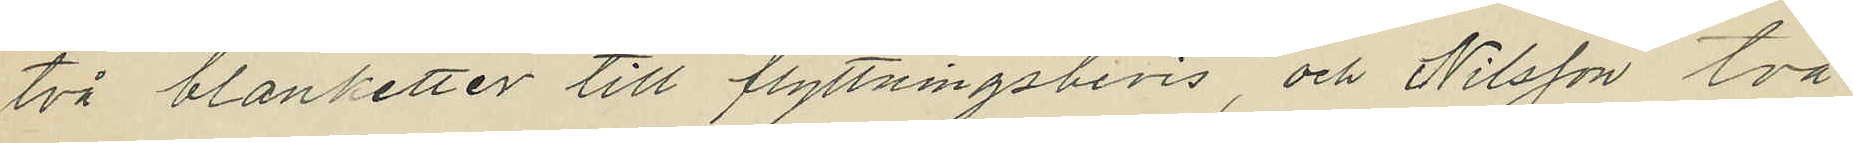två blanketter till flyttningsbevis, och Nilsson två
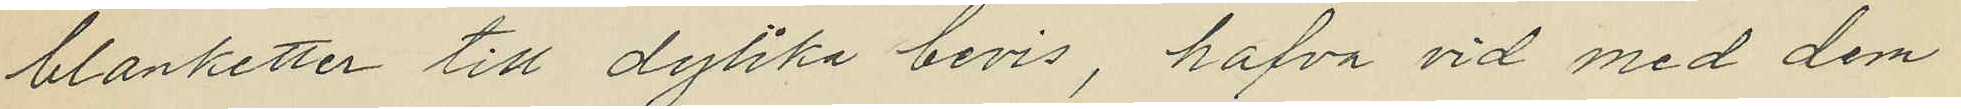blanketter till dylika bevis, hafva vid med dem
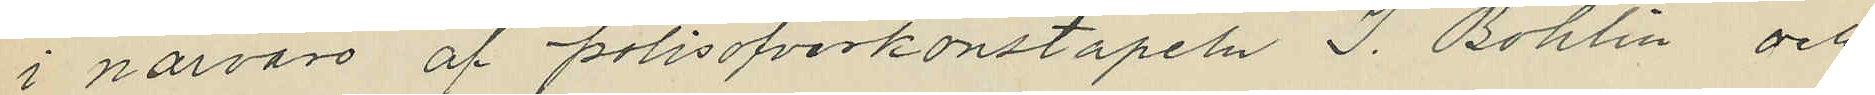i närvaro af polisofverkonstapeln J. Bohlin och
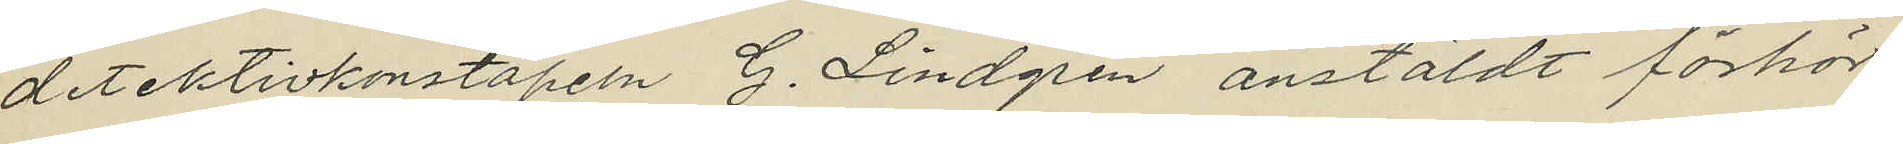detektivkonstapeln G. Lindgren anstäldt förhör
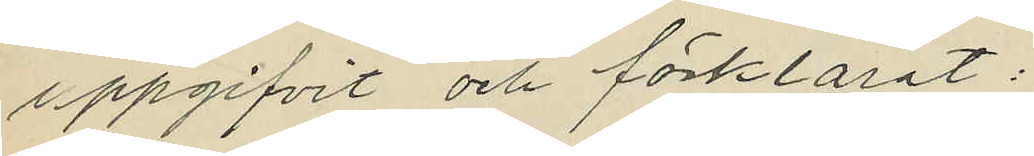uppgifvit och förklarat:
